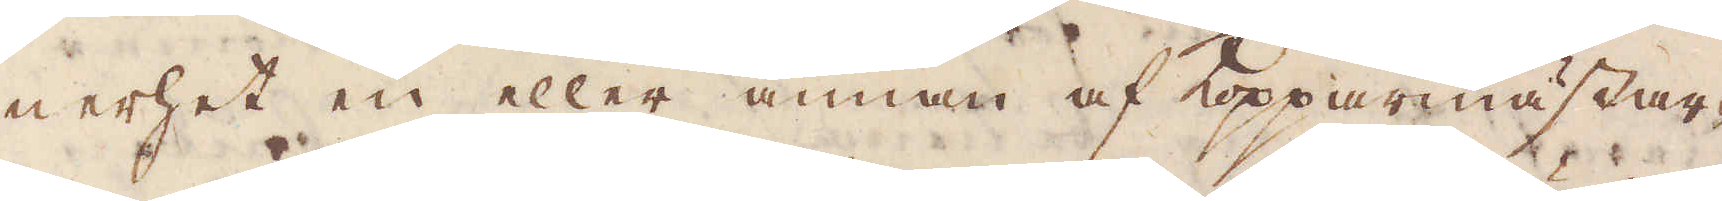nerhet en eller annan af Kopparmästar-
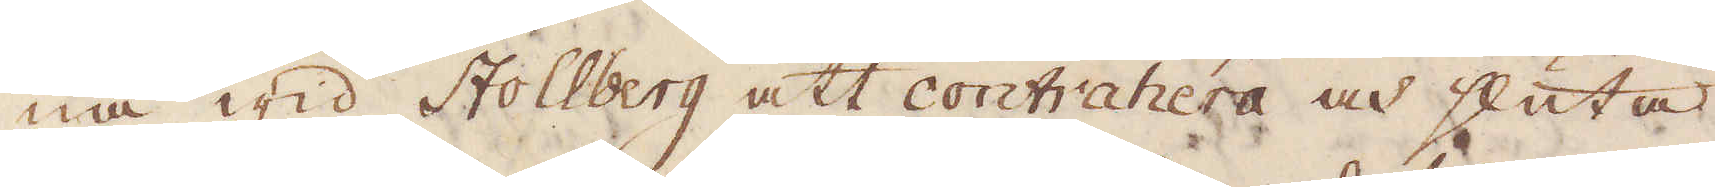na wid Stollberg att contrahera och sluta
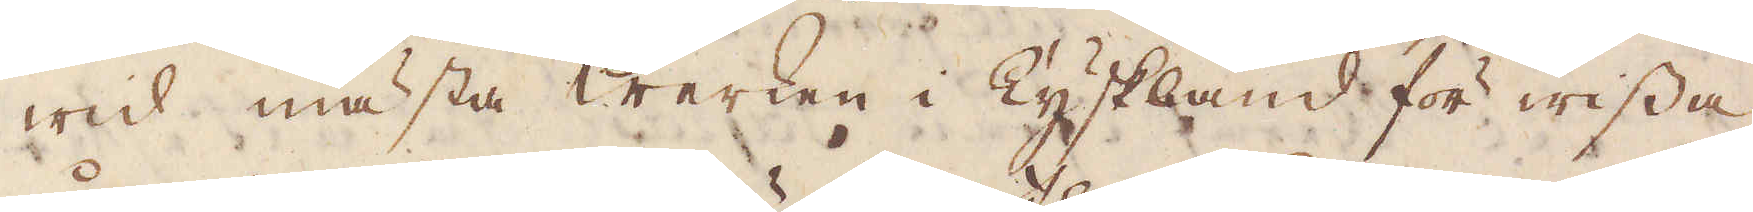wid mästa Werken i Tyskland för wissa
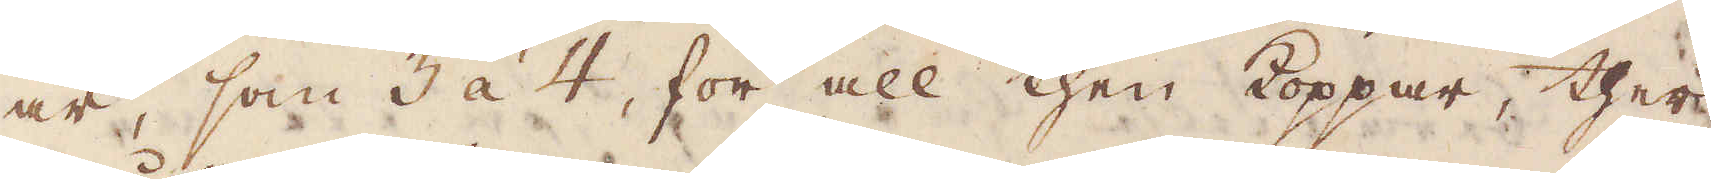år, som 3 à 4, för all then koppar, ther
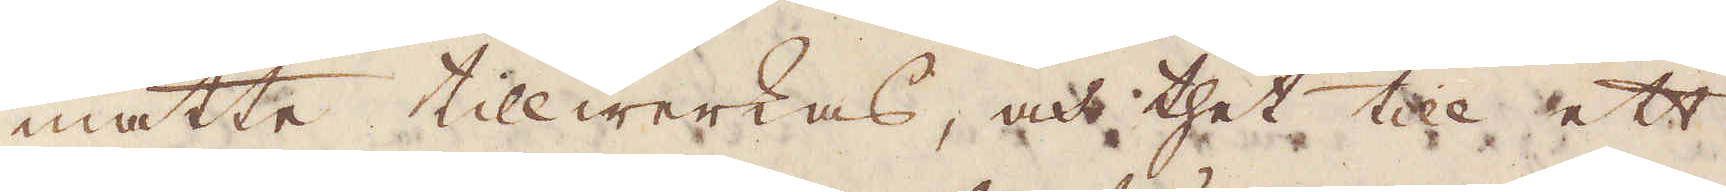måtte tillwerkas, och thet till ett
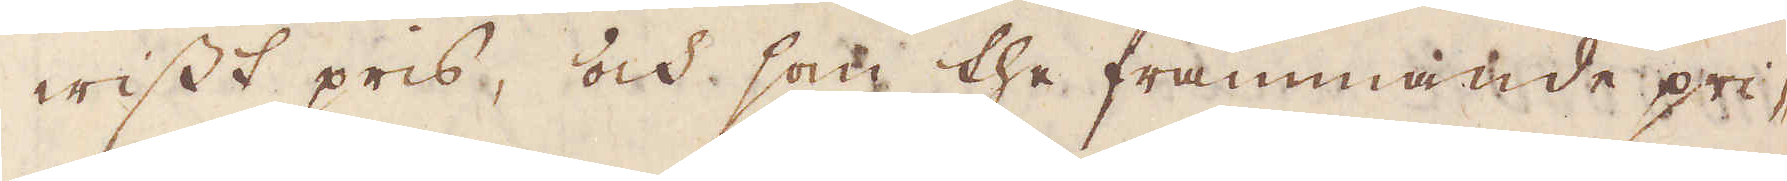wisst pris, och som the främmande pri-
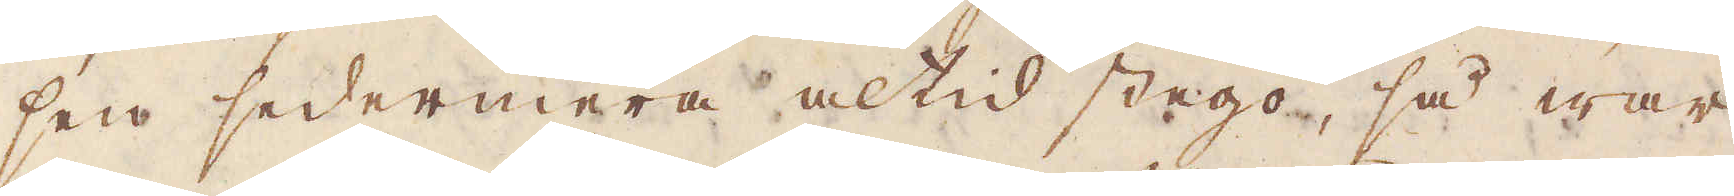sen sedermera altid stego, så war
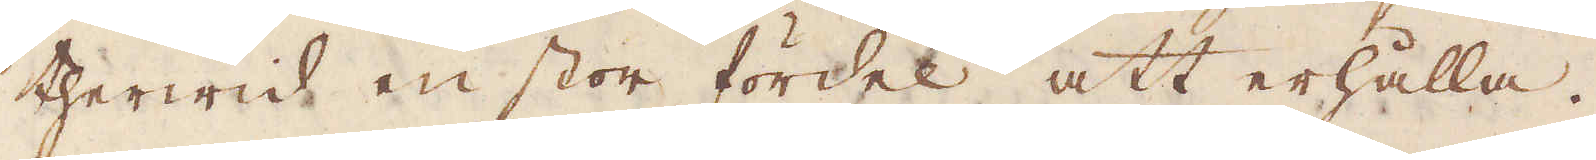therwid en stor fördel att erhålla.
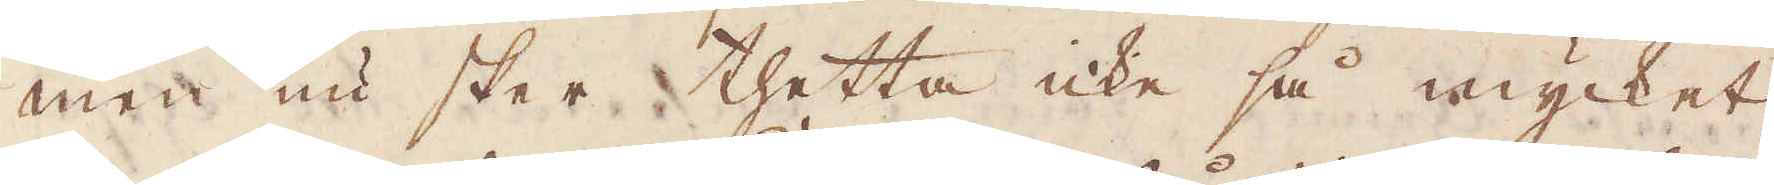Men nu sker thetta icke så mycket,
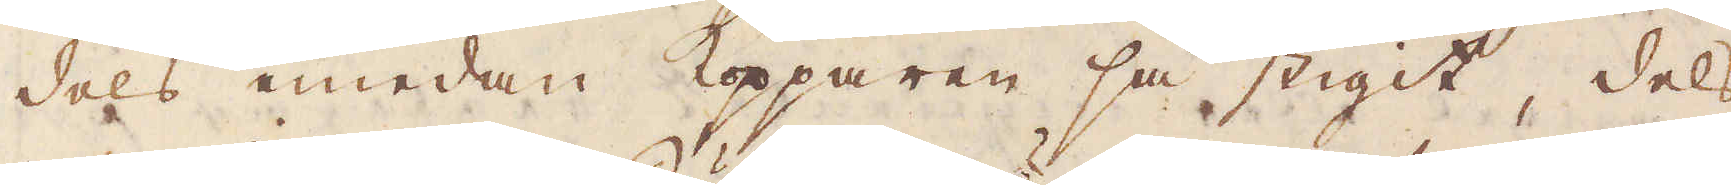dels emedan Kopparen så stigit, dels
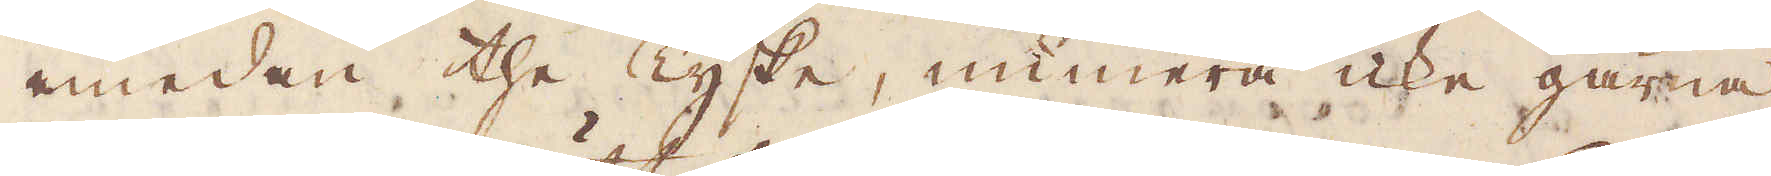emedan the Tyska, numera icke gärna
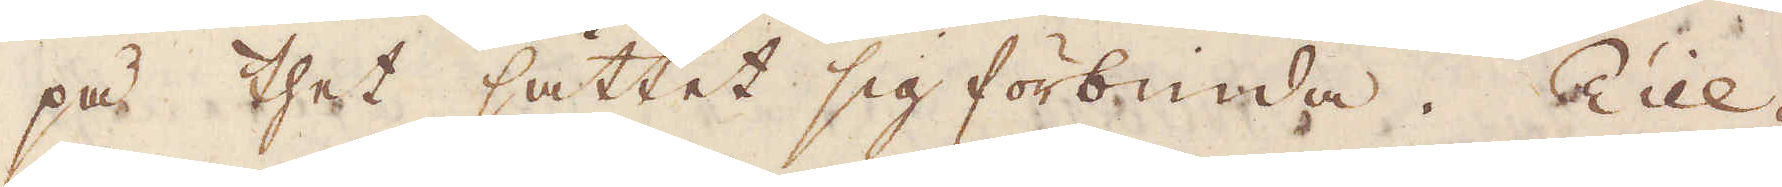på thet sättet sig förbinda. Till-
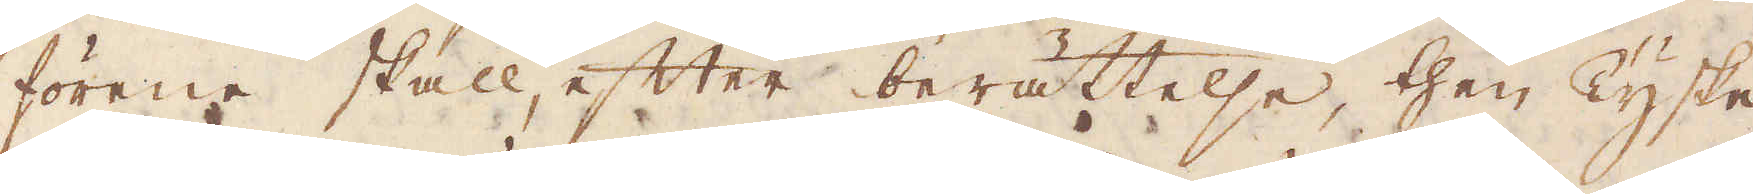förene skall, efter berättelse, then Tyske
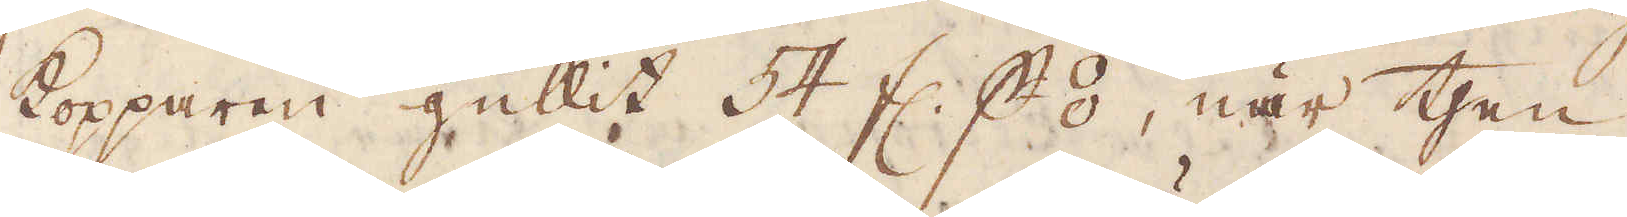Kopparen gullit 54 fl. p ⦂, när then
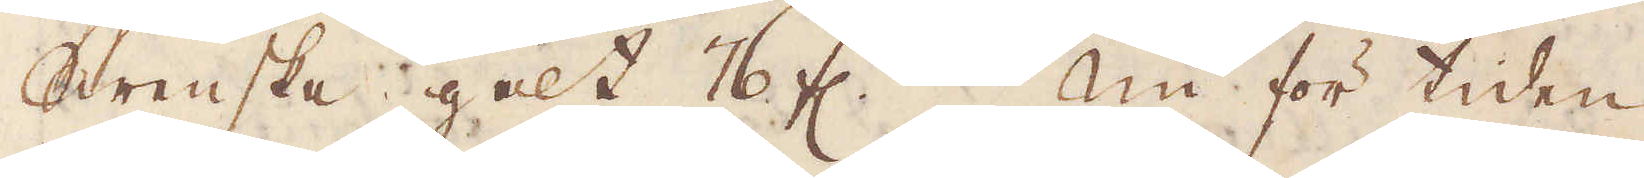Swenska galt 76 fl. Nu för tiden
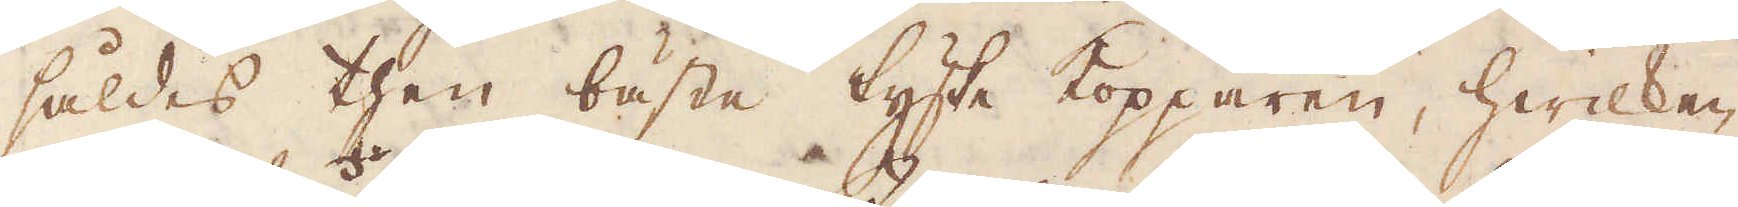såldes then bäste tyske kopparen, hwilken
